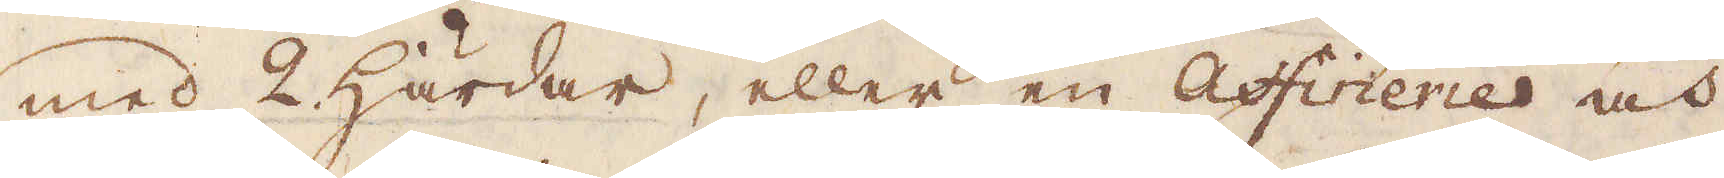med 2 Härdar, eller en Affineries och
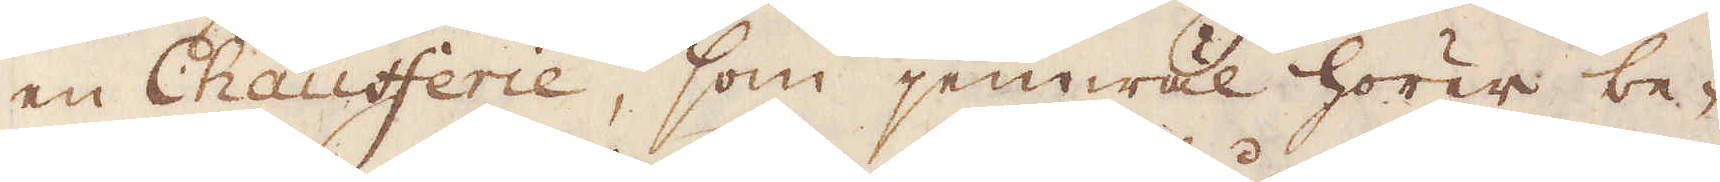en Chaufferie, som jemwäl hörer be-
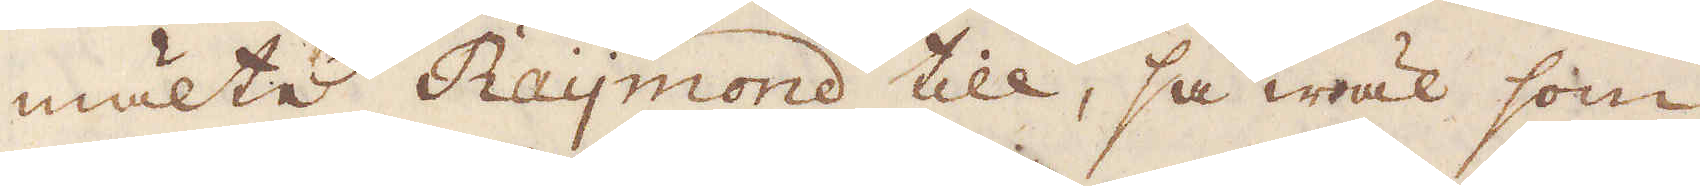mälte Raymond till, så wäl som
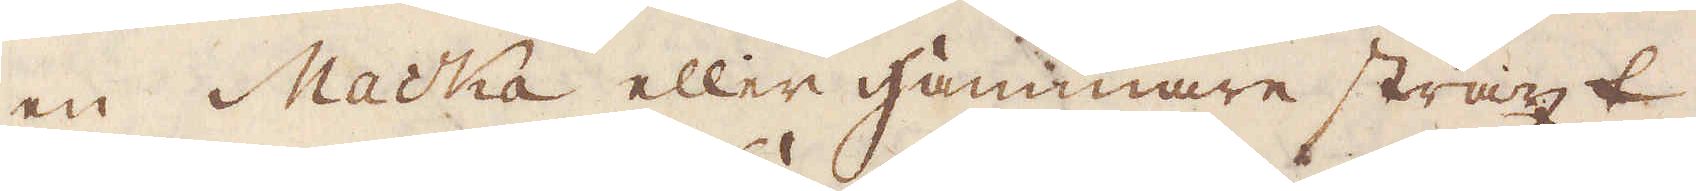en Macka eller Hammare straxt
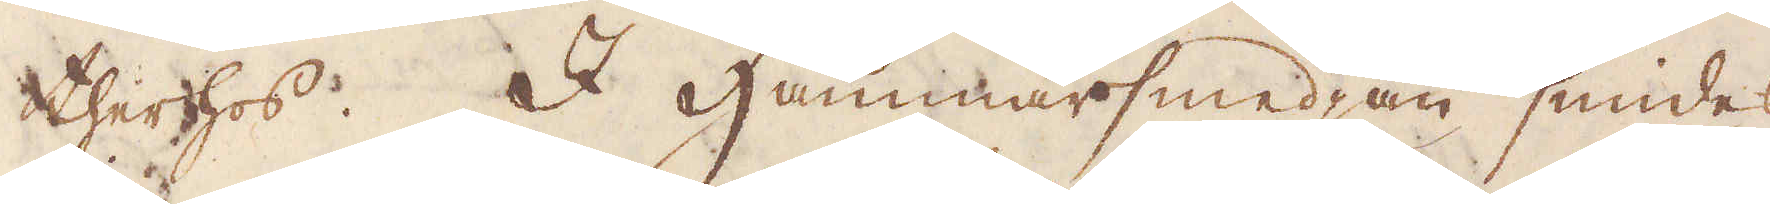therhos. I Hammarsmedjan smides
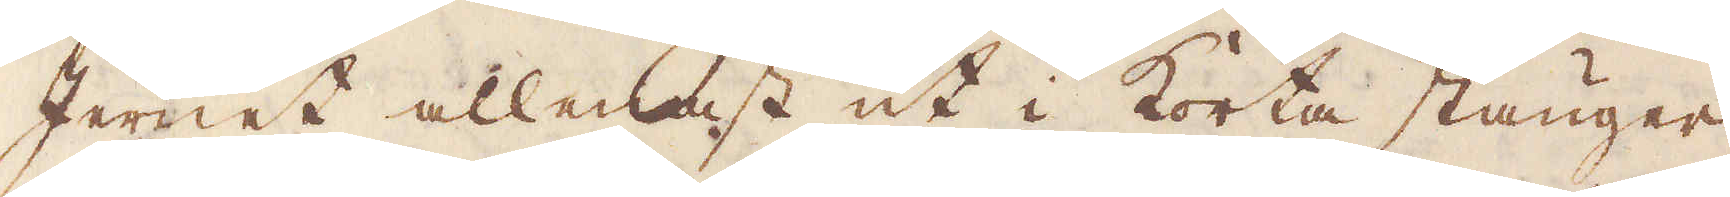Jernet allenast ut i korta stänger
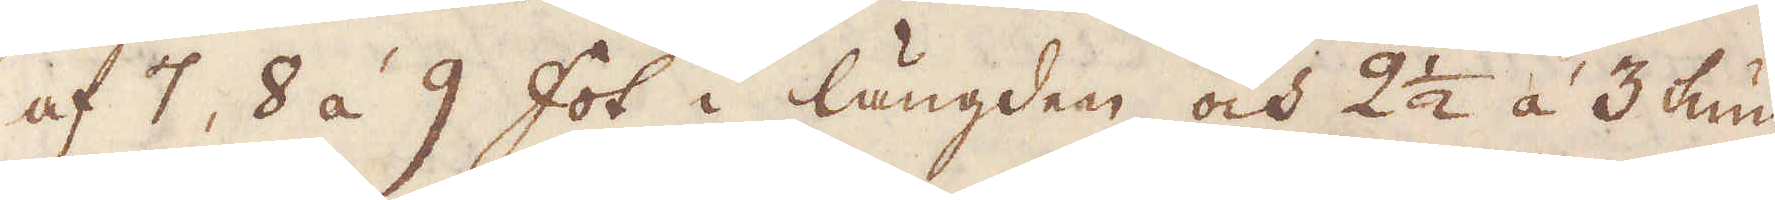af 7, 8 á 9 fot i längden och 2 1/2 á 3 tum
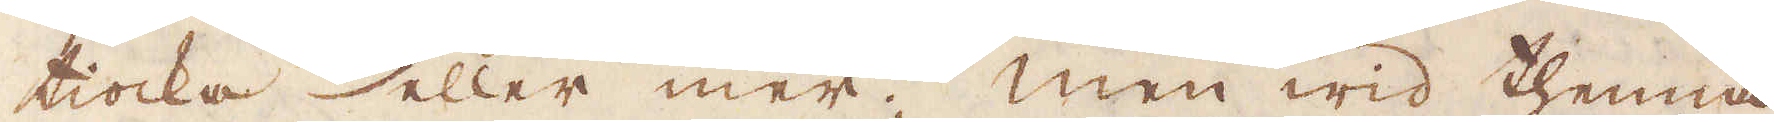tiocka eller mer; men wid thenna
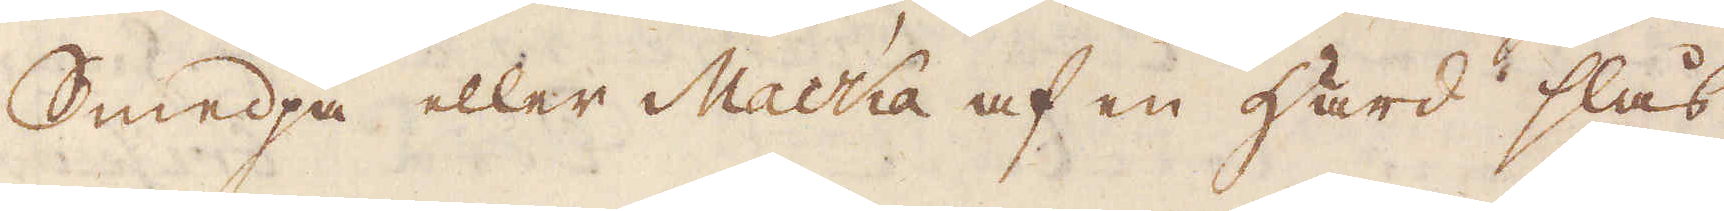Smedja eller Macka af en Härd slås
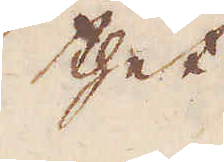thet
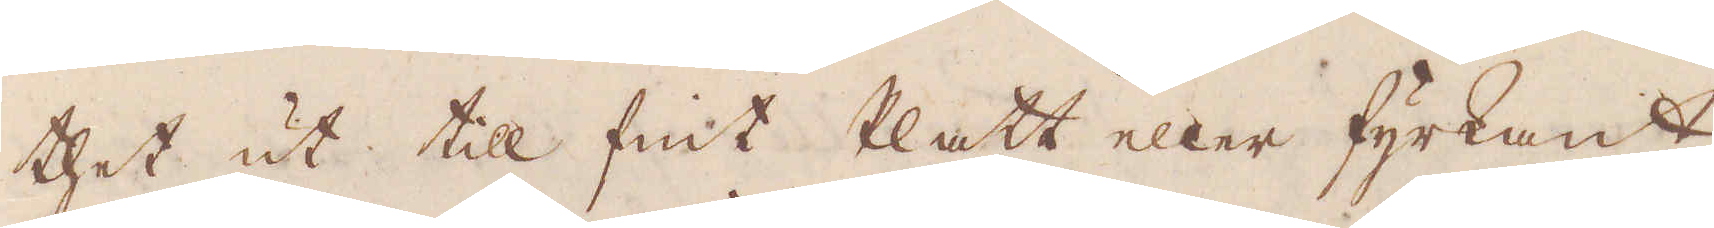thet ut till fint Platt eller fyrkant,
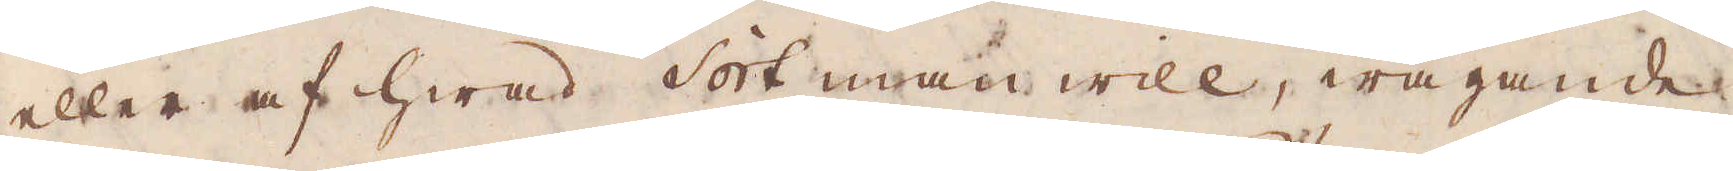eller af hwad sort man will, wägande
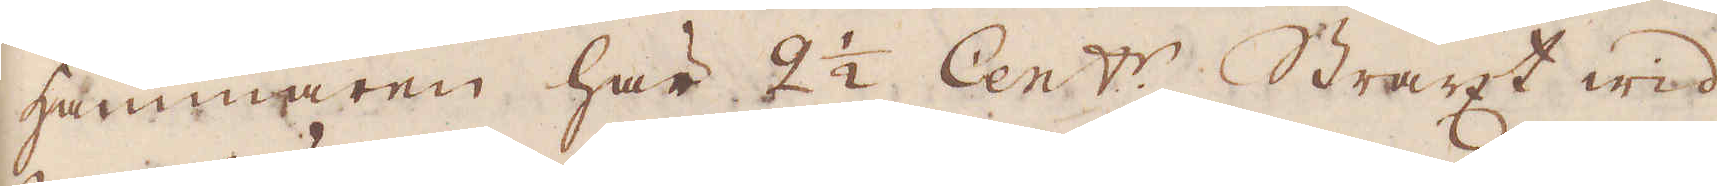hammaren här 2 1/2 Cent:r. Straxt wid
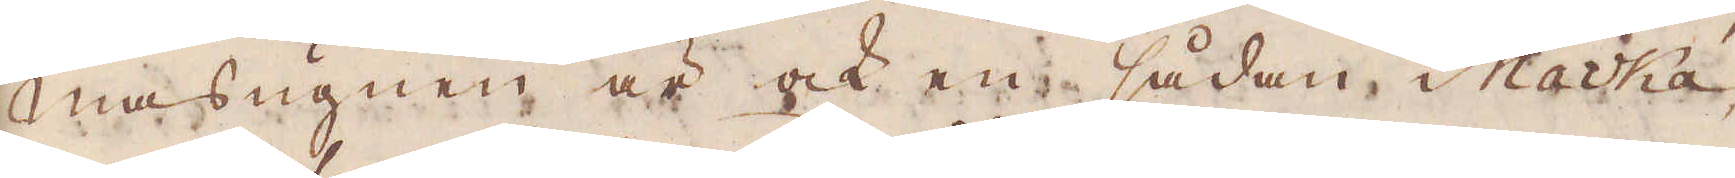masugnen är ock en sådan Macká,
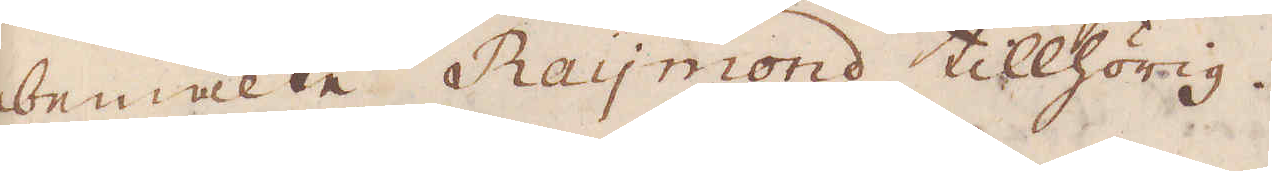bemälte Raymond tillhörig.
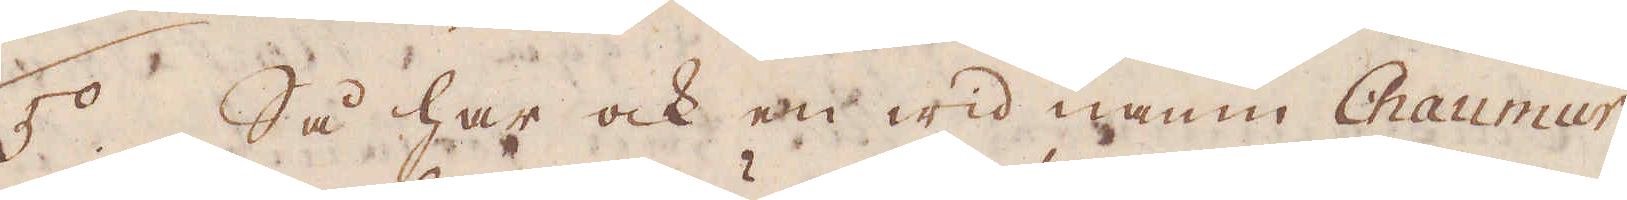5:o. Så har ock en wid namn Chaumur
